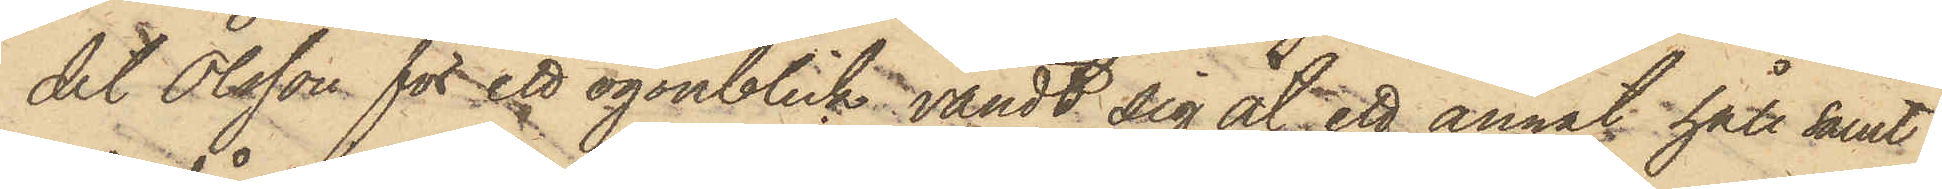det Olsson för ett ögonblick vändt sig åt ett annat håll samt
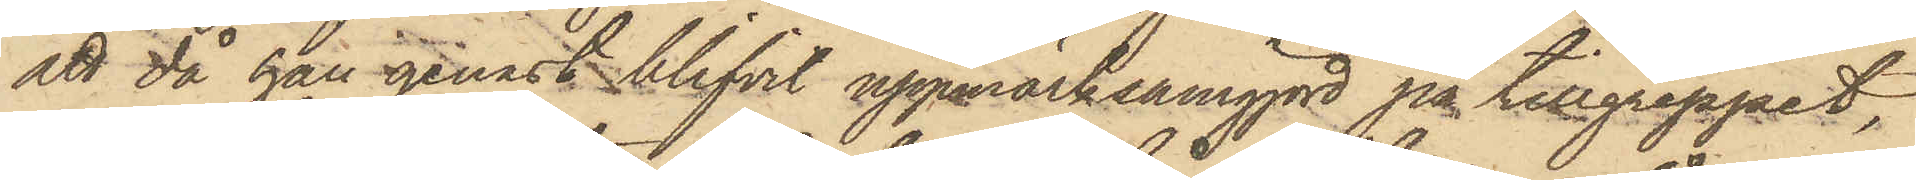att då han genast blifvit uppmärksamgjord på tillgreppet,
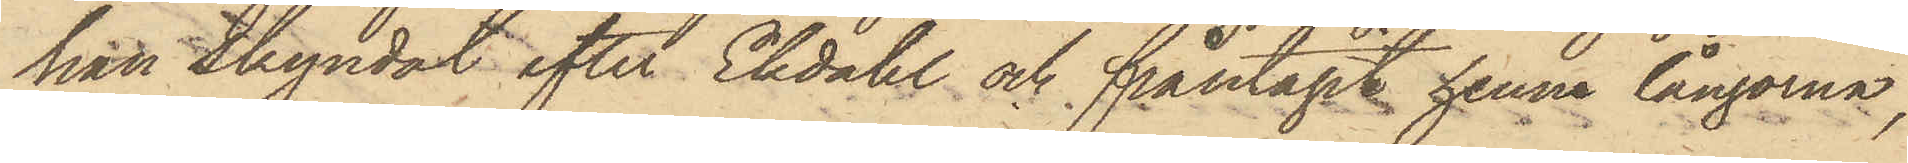han skyndat efter Ekdahl och fråntagit henne långorna,
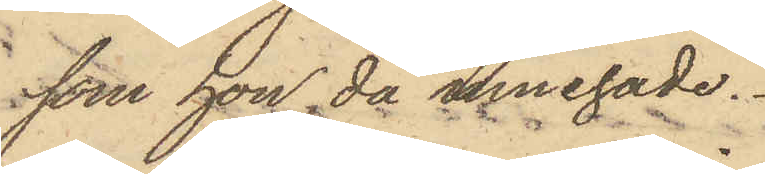som hon då innehade.
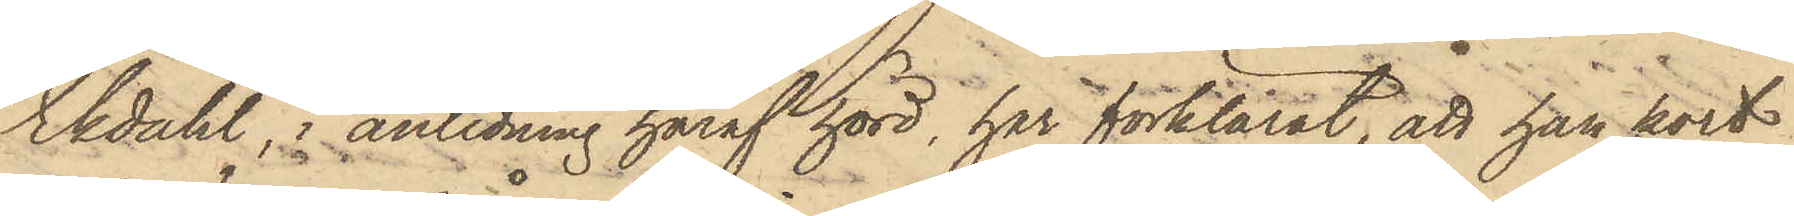Ekdahl, i anledning häraf hörd, har förklarat, att han kort
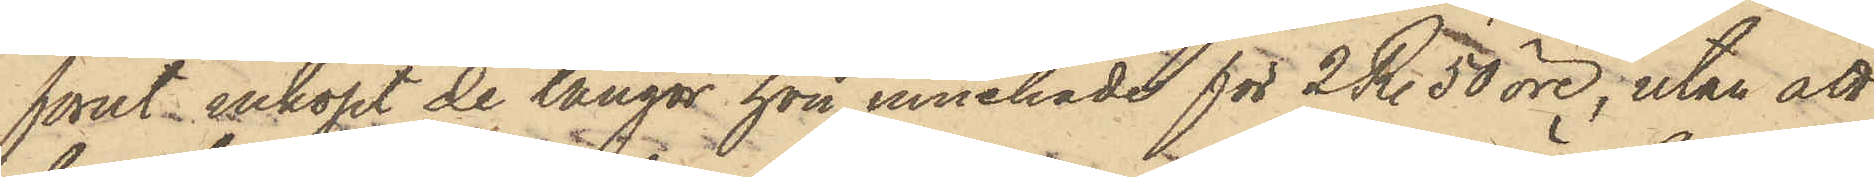förut inköpt de långor hon innehade för 2 R. 50 öre, utan att
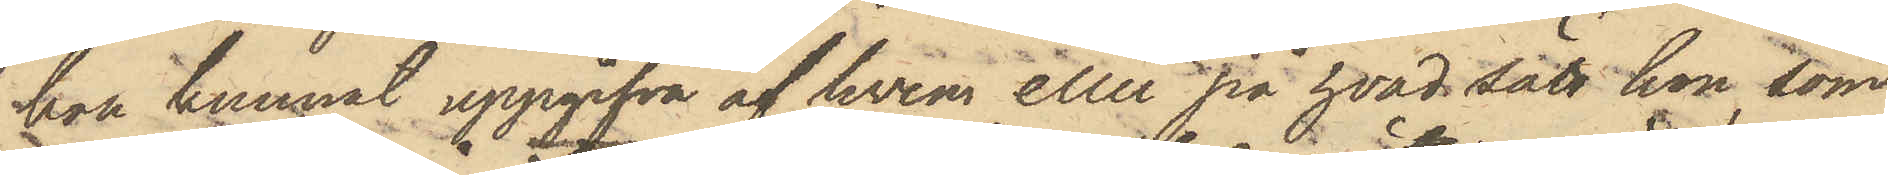hon kunnat uppgifva af hvem eller på hvad sätt hon, som
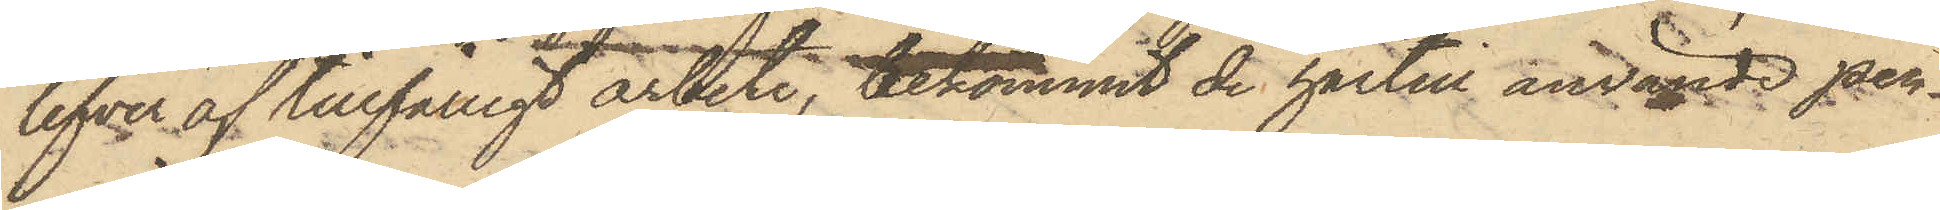lefver af tillfälligt arbete, bekommit de härtill använde pen¬
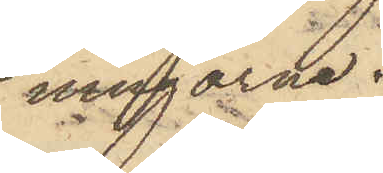ningarne.
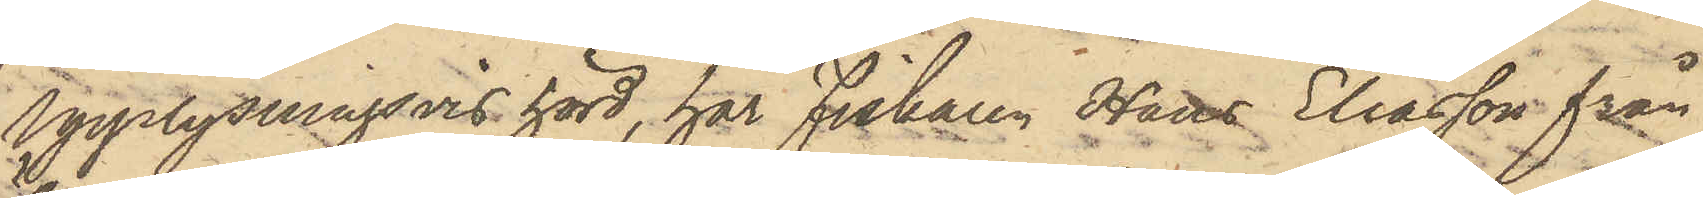Upplysningsvis hörd, har Fiskaren Hans Eliasson från
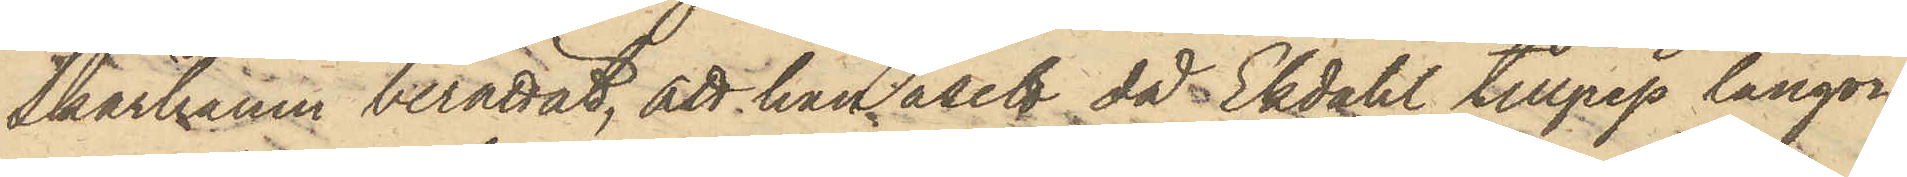Skärhamn berättat, att han åsett då Ekdahl tillgrep långor¬
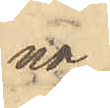na,
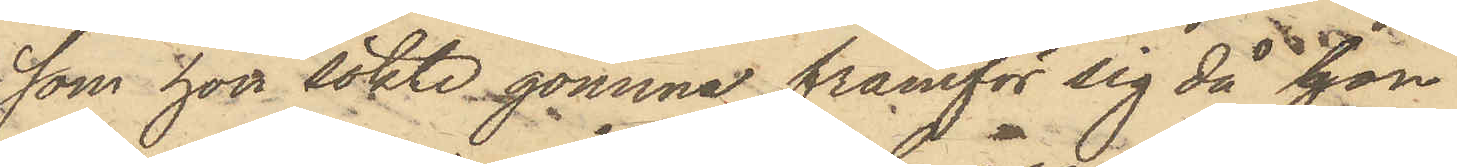som hon sökte gömma framför sig då hon
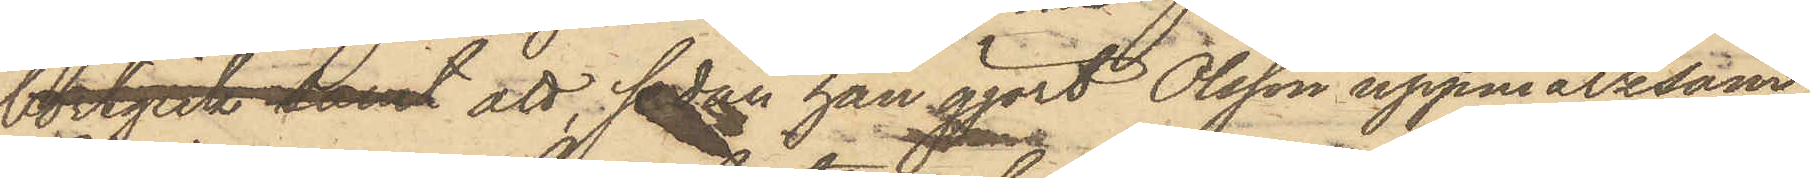bortgick samt att, sedan han gjort Olsson uppmärksam
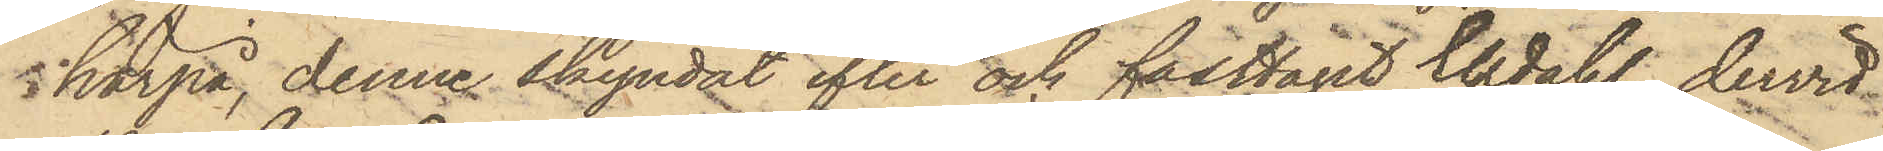härpå, denne skyndat efter och fasttagit Ekdahl, dervid
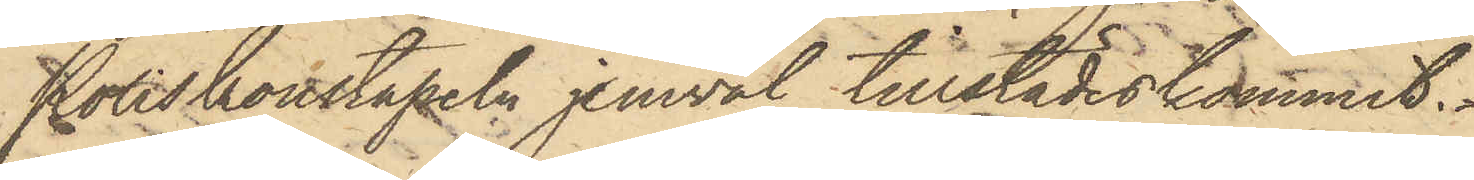Poliskonstapeln jemväl tillstädeskommit.
